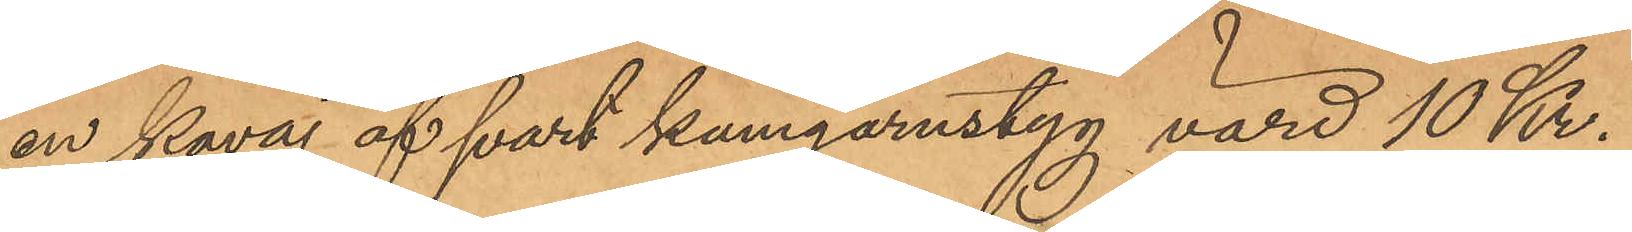en kavaj af svart kamgarnstyg värd 10 Kr.
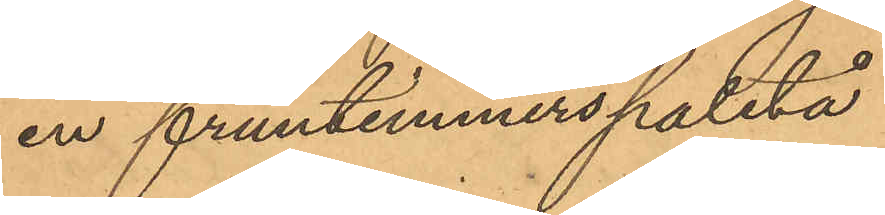en fruntimmerspaletå
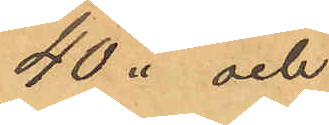40 " och
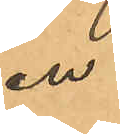en
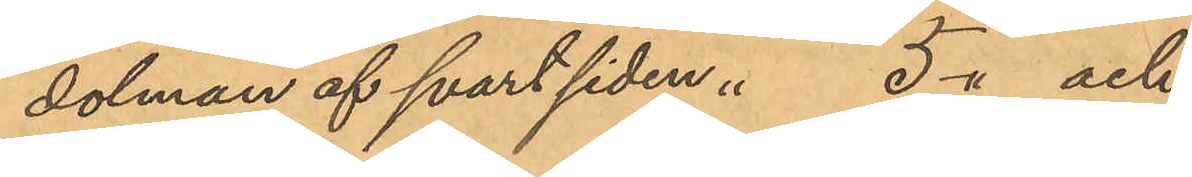dolman af svart siden " 5 " och
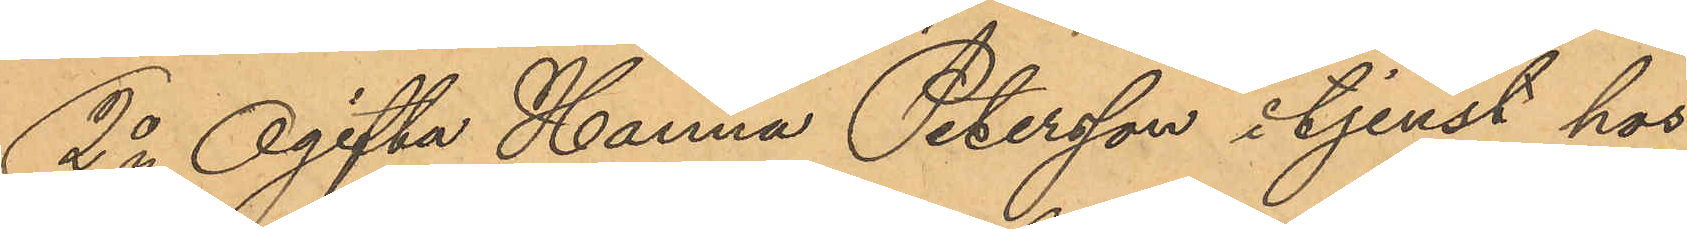2o Ogifta Hanna Petersson i tjenst hos
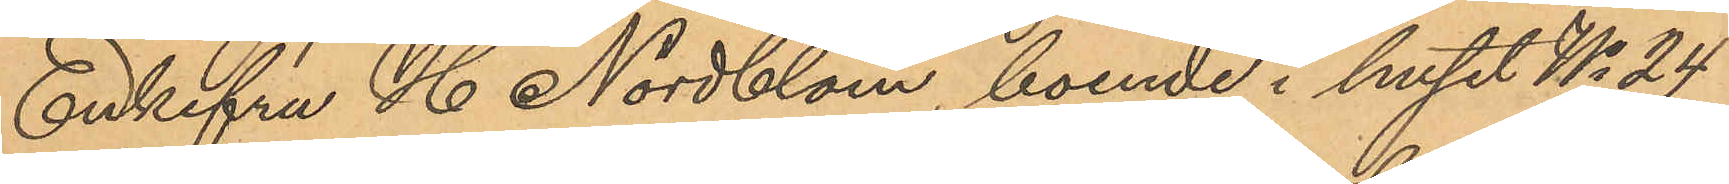Enkefru H. Nordblom, boende i huset No 24
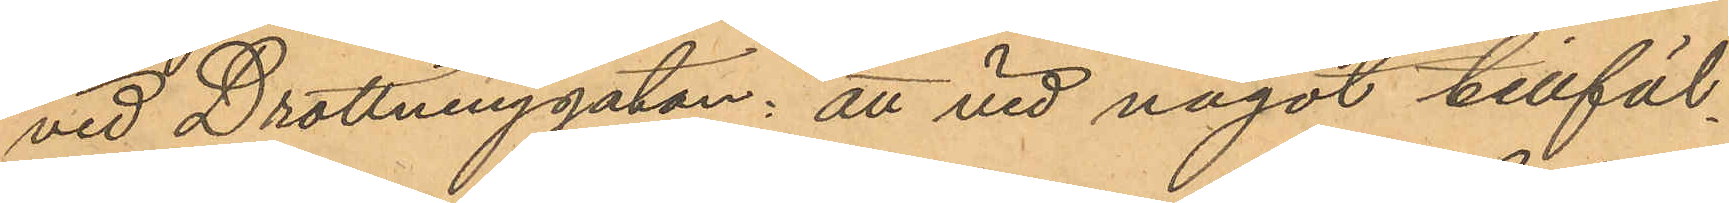vid Drottninggatan: att vid något tillfäl¬
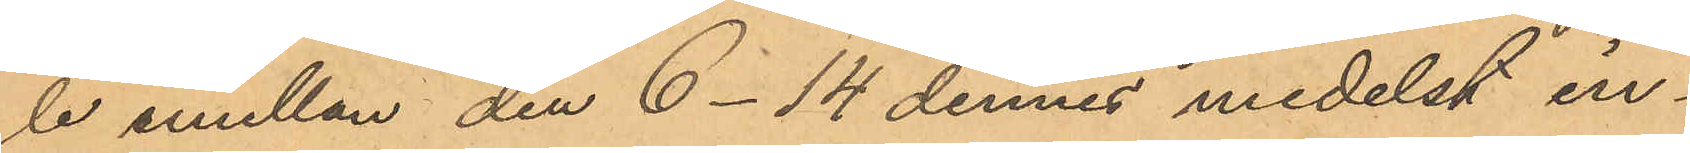le emellan den 6- 14 dennes medelst in¬
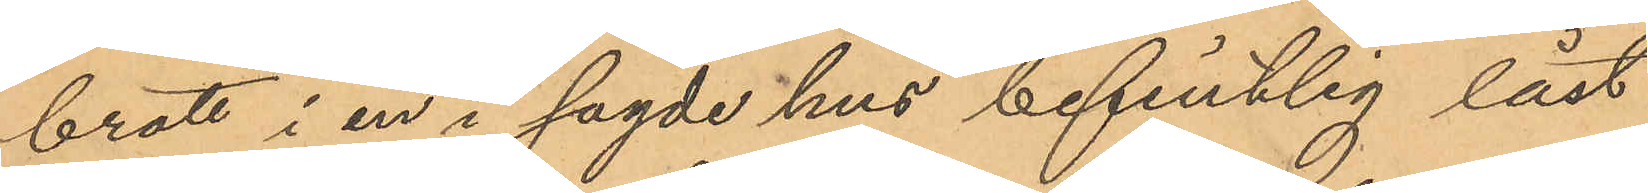brott i en i sagde hus befintlig låst
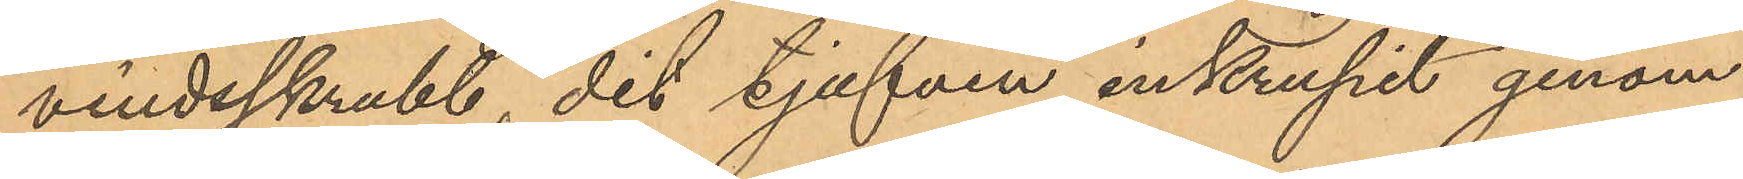vindsskrubb, dit tjufven inkrupit genom
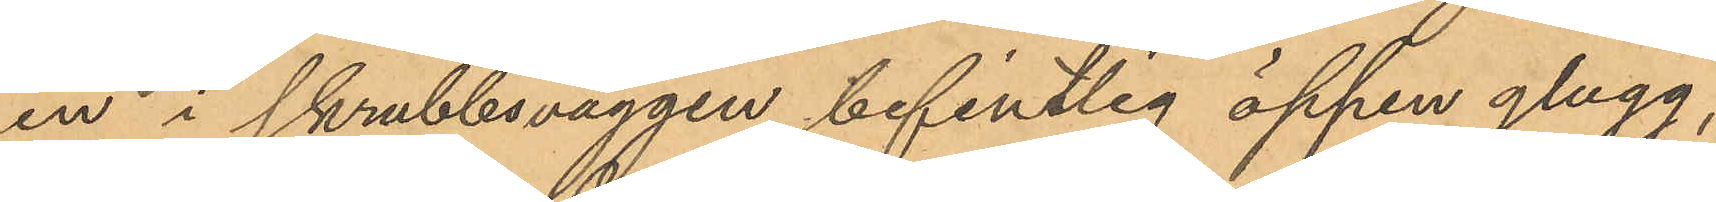en i skrubbsväggen befintlig öppen glugg,
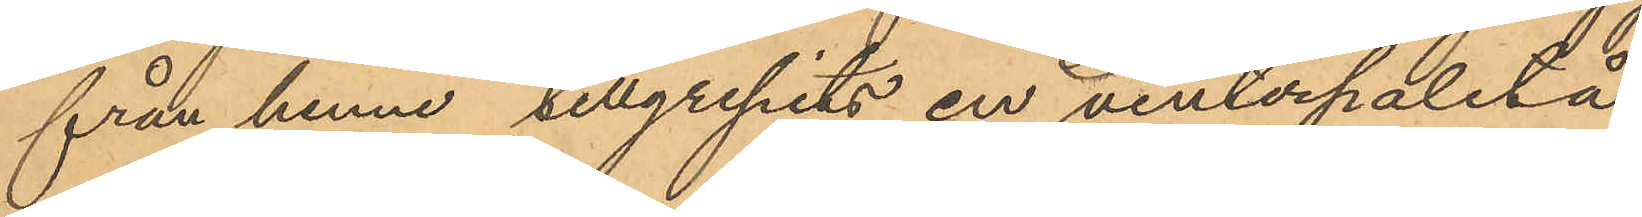från henne tillgripits en vinterpaletå
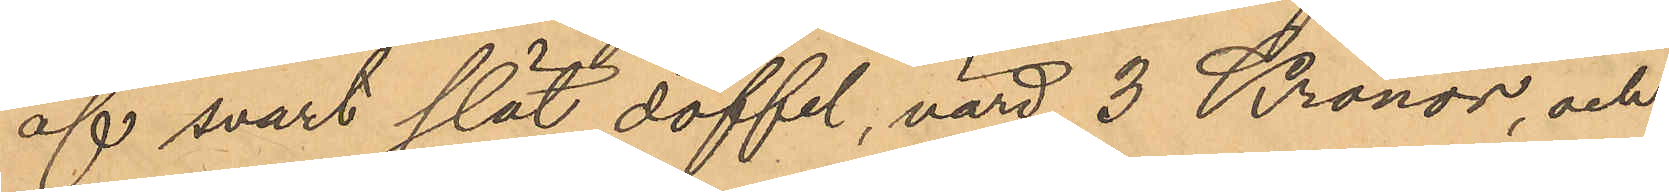af svart slät doffel, värd 3 Kronor, och
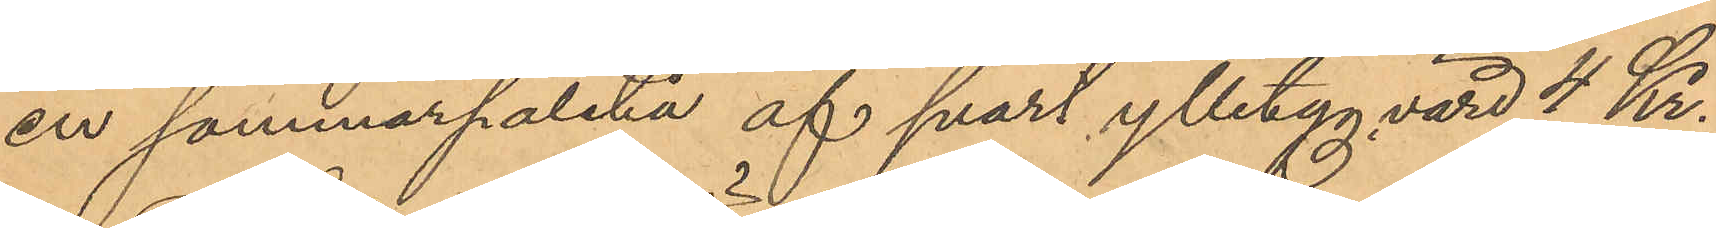en sommarpaletå af svart ylletyg värd 4 Kr.
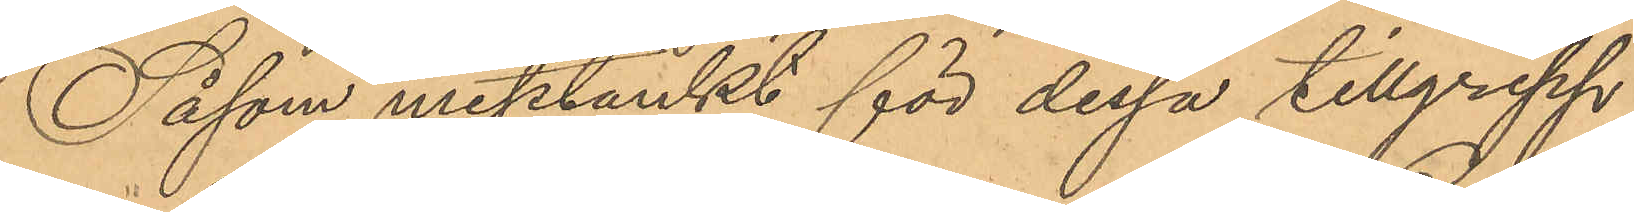Såsom misstänkt för dessa tillgrepp
